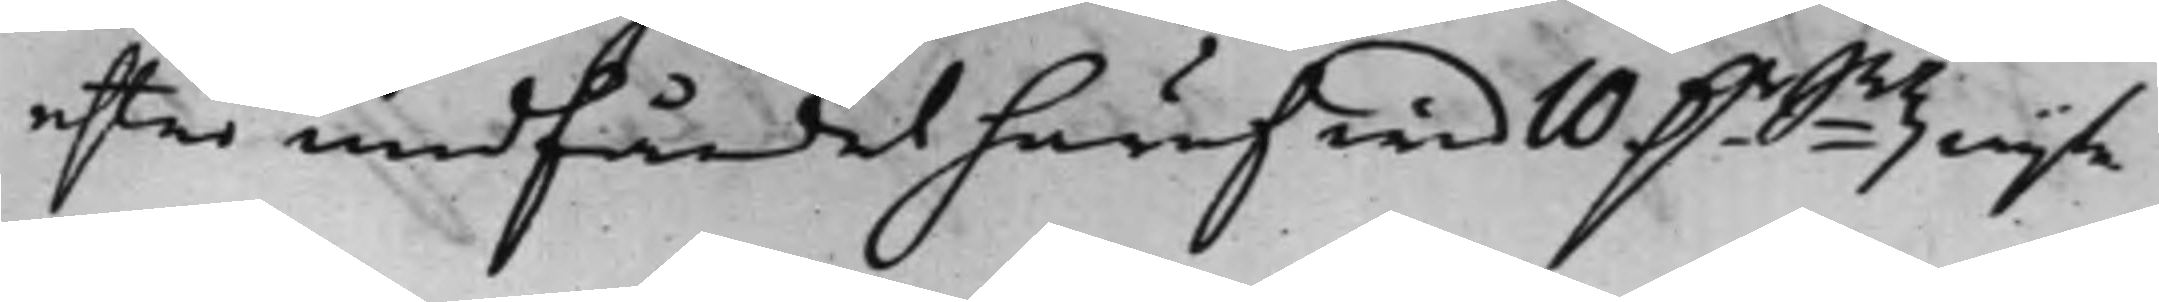efter undfåndet häraf wid 10 D.r Smtz wijte
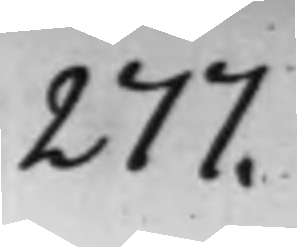277.
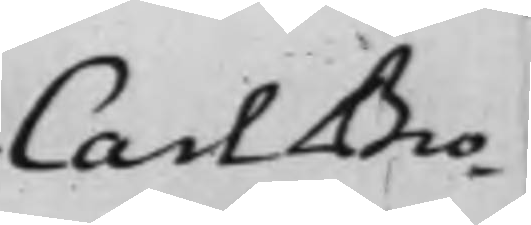Carl Bro¬
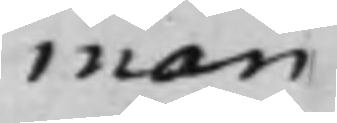man
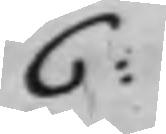C:
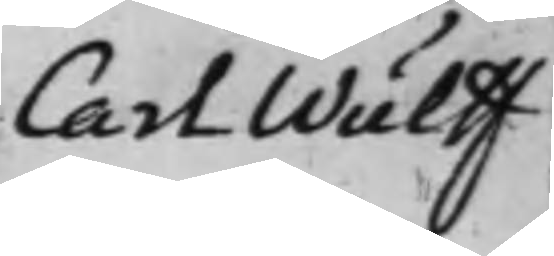Carl Wulff
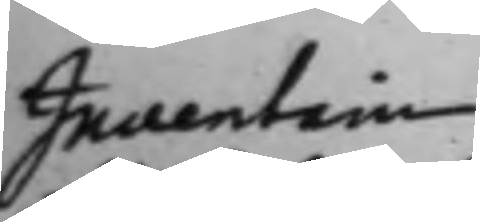Inventarie
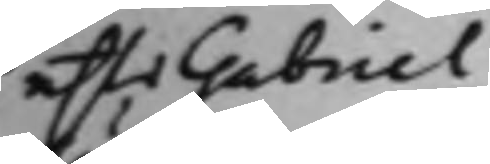efter Gabriel
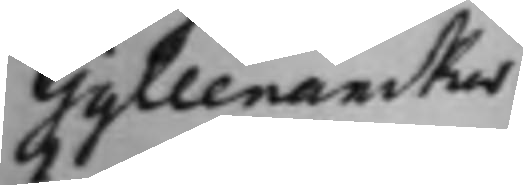Gyllenanckar
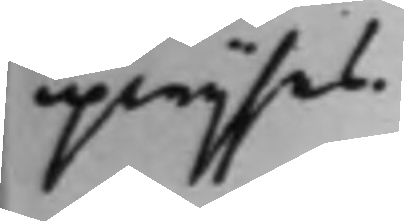upwijsas.
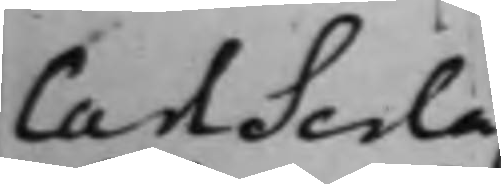Carl Serla¬
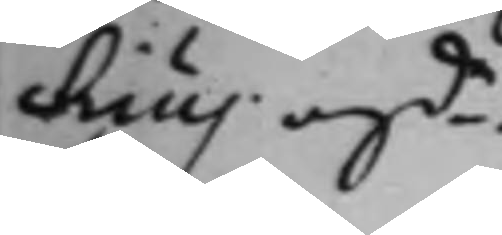chius angde.
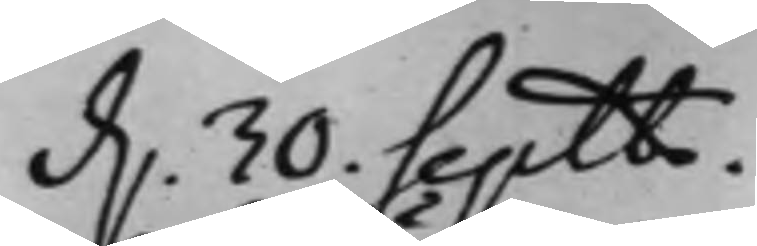d. 30. Septbr.
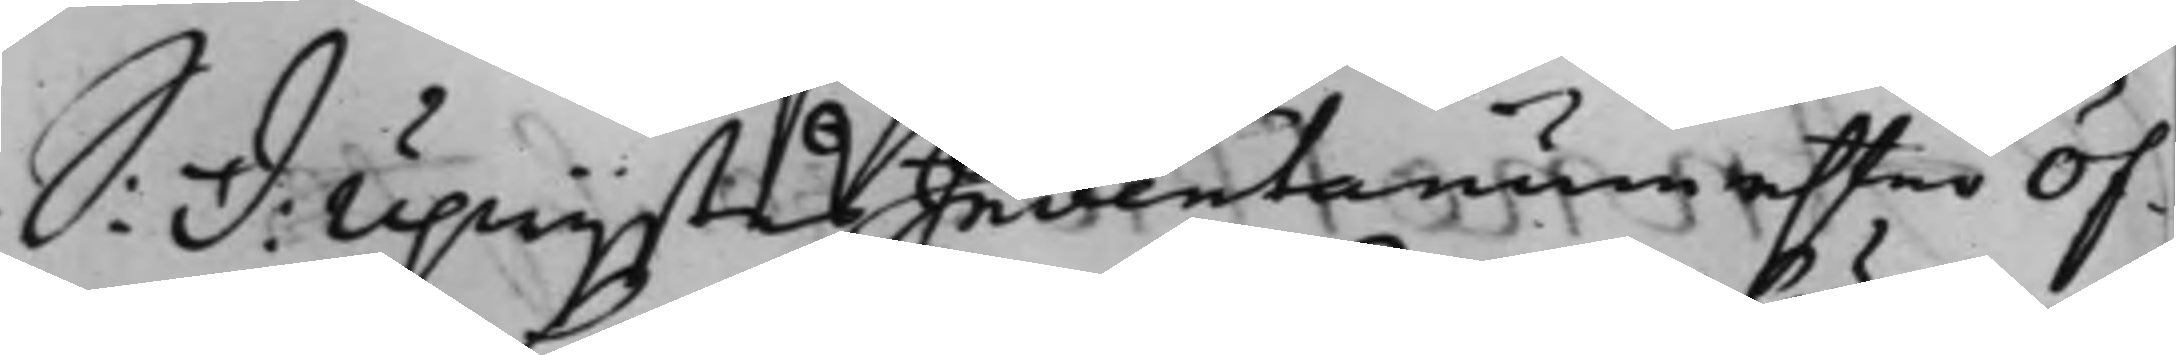S: D: Upwijstes Indentarium efter Öf¬
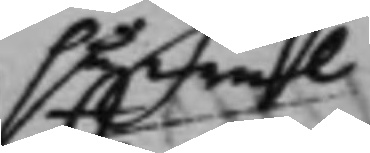såwäl
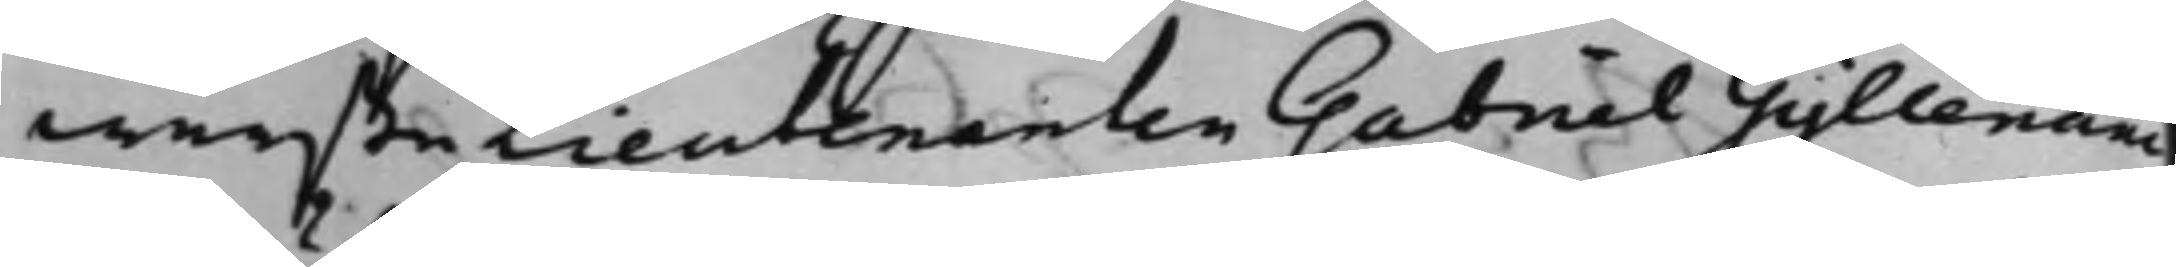werste Lieutenanten Gabriel Gyllenanc¬
